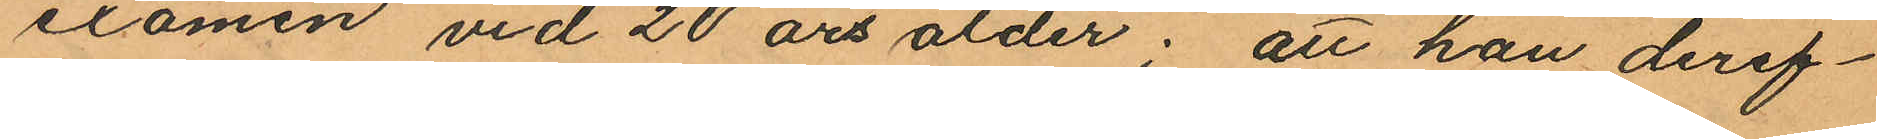examen vid 20 års ålder; att han deref¬
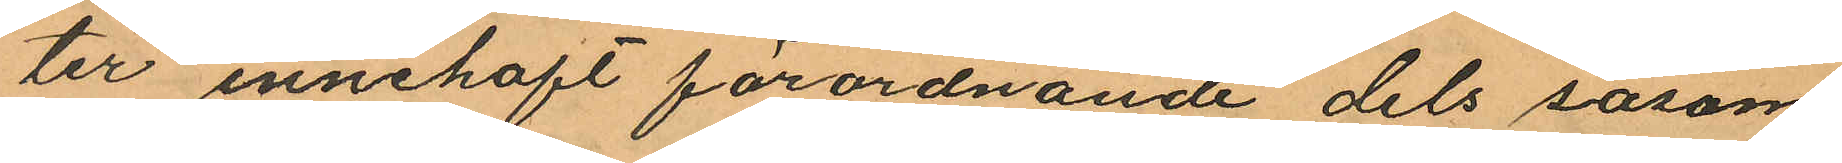ter innehaft förordnande dels såsom
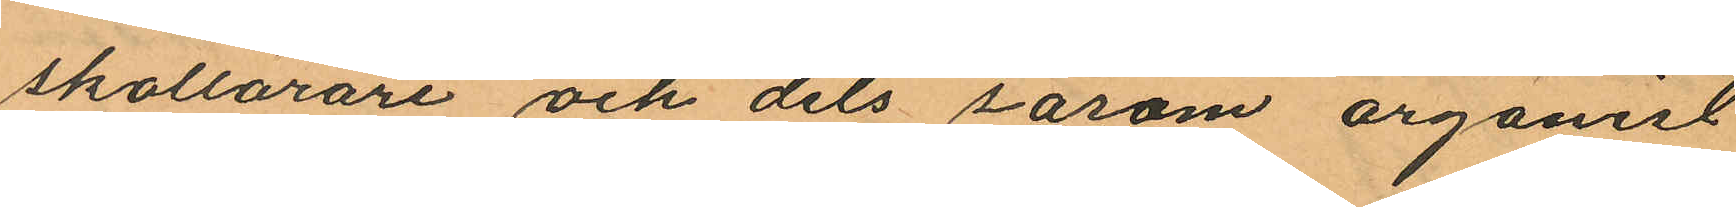skollärare och dels såsom organist
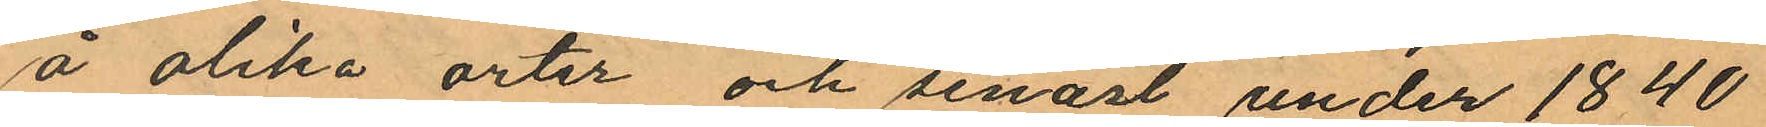å olika orter och senast under 1840
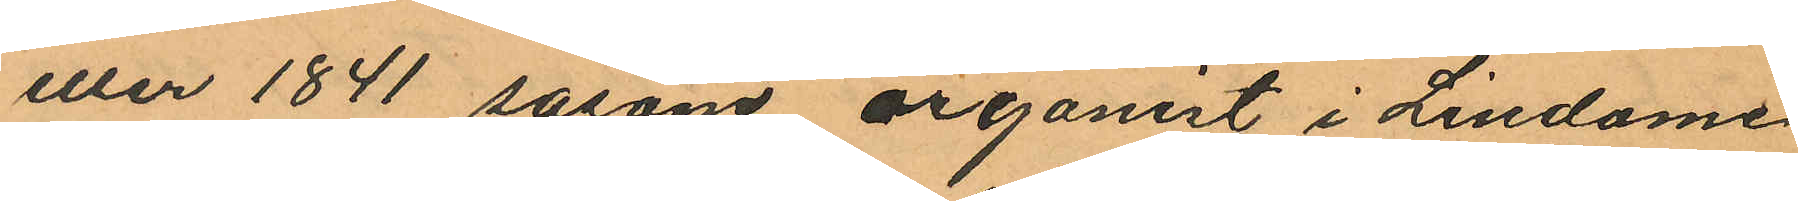eller 1841 såsom organist i Lindome
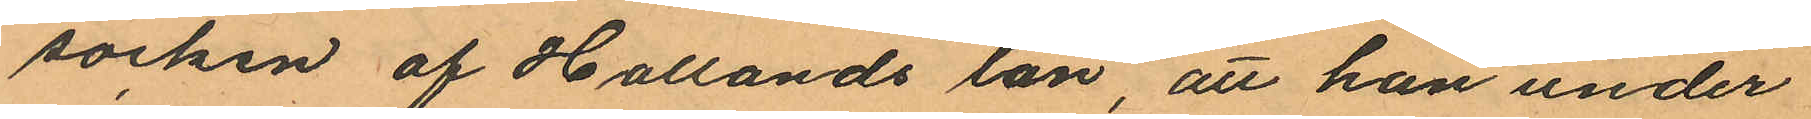socken af Hallands län, att han under
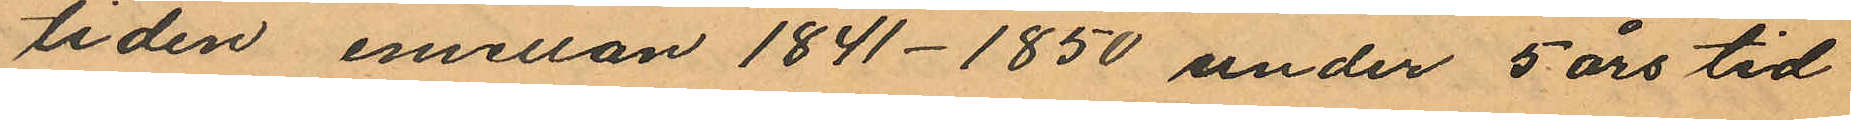tiden emellan 1841-1850 under 5 års tid
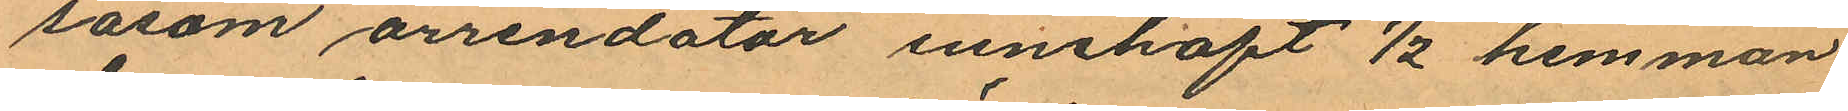såsom arrendator innehaft ½ hemman
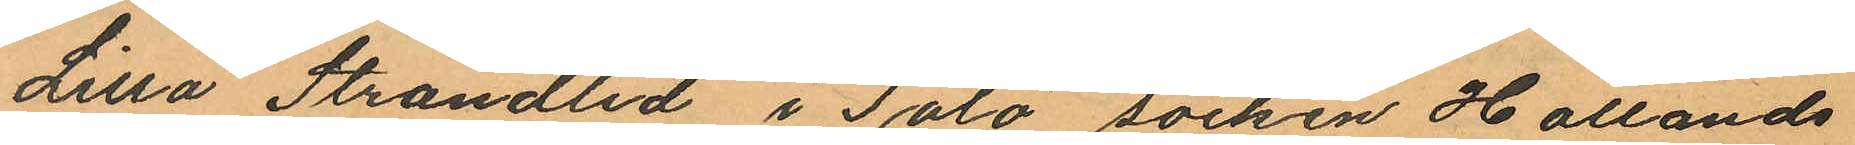Lilla Strandlid i Tölö socken Hallands
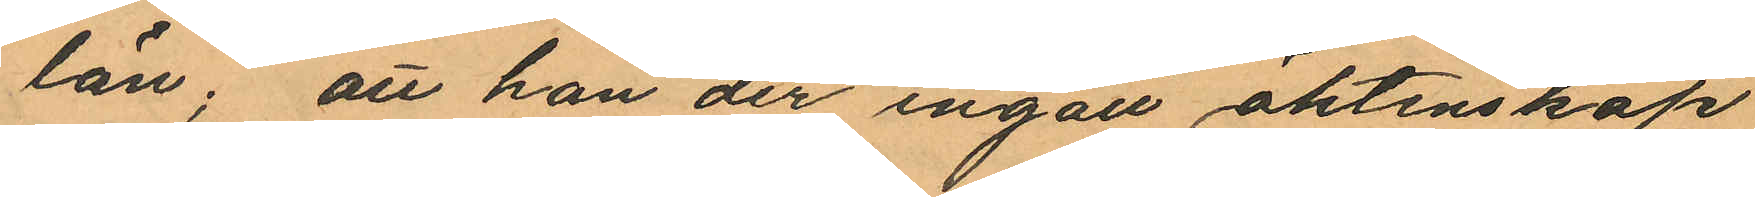län; att han der ingått äktenskap
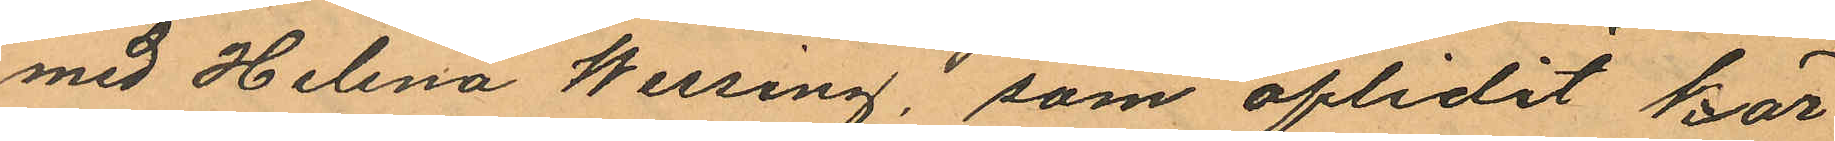med Helena Wessing, som aflidit här
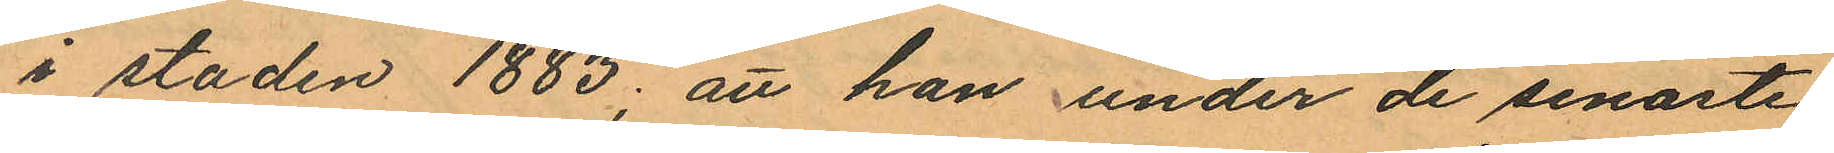i staden 1883; att han under de senaste
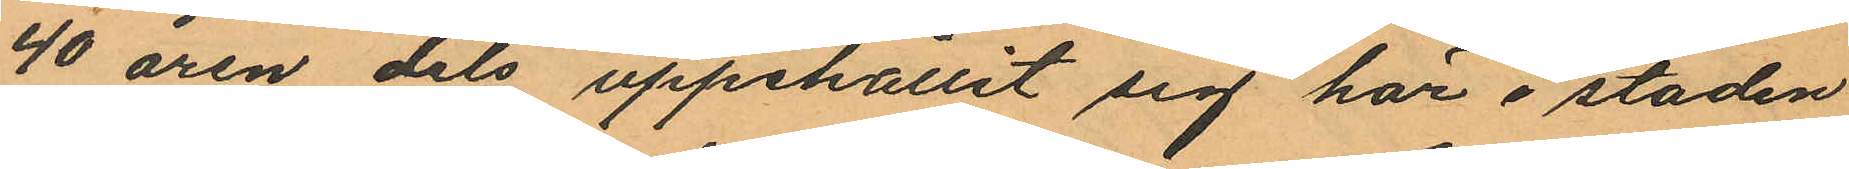40 åren dels uppehållit sig här i staden
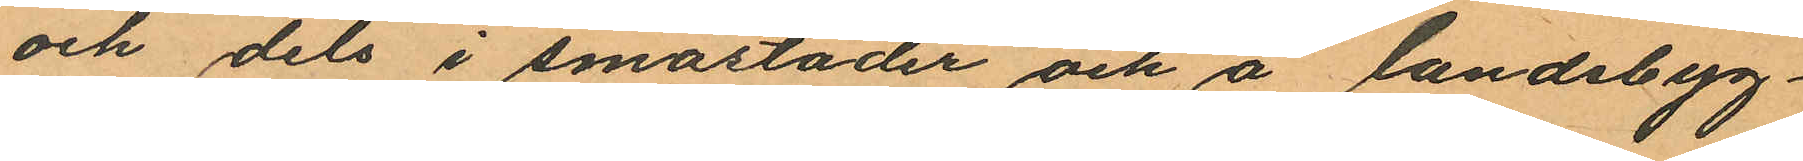och dels i småstäder och å landsbyg¬
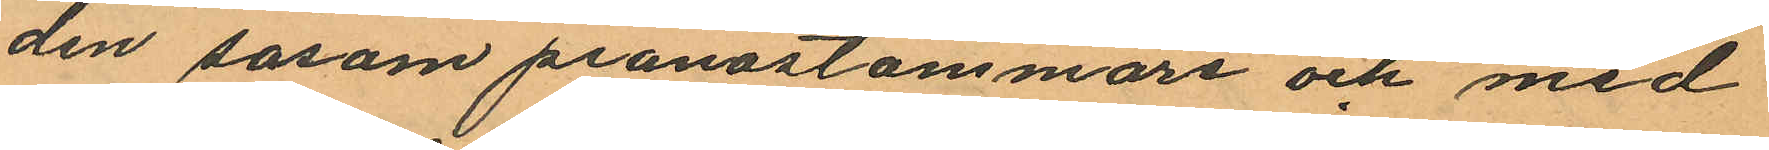den såsom pianostämmare och med
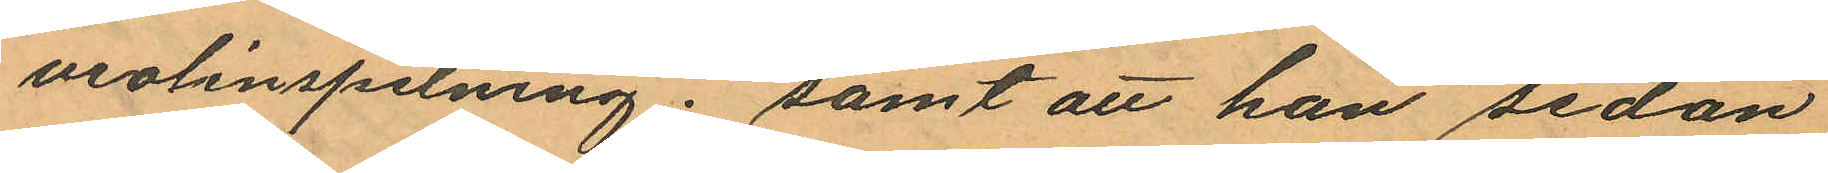violinspelning; samt att han sedan
